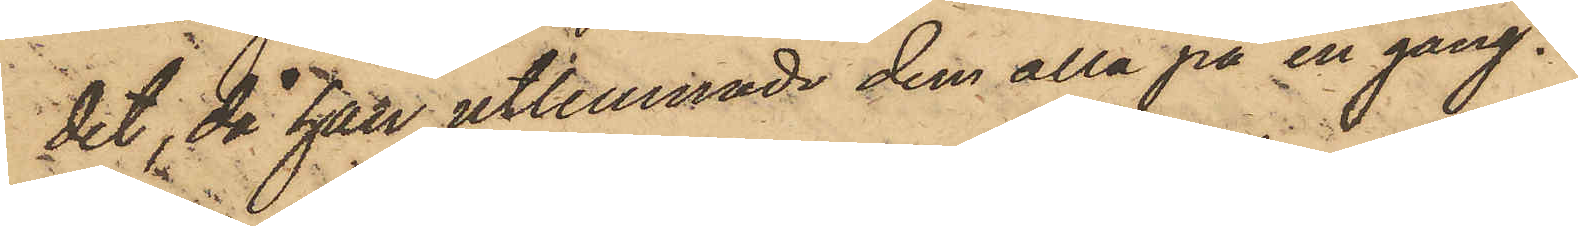det, då han utlemnade dem alla på en gång.
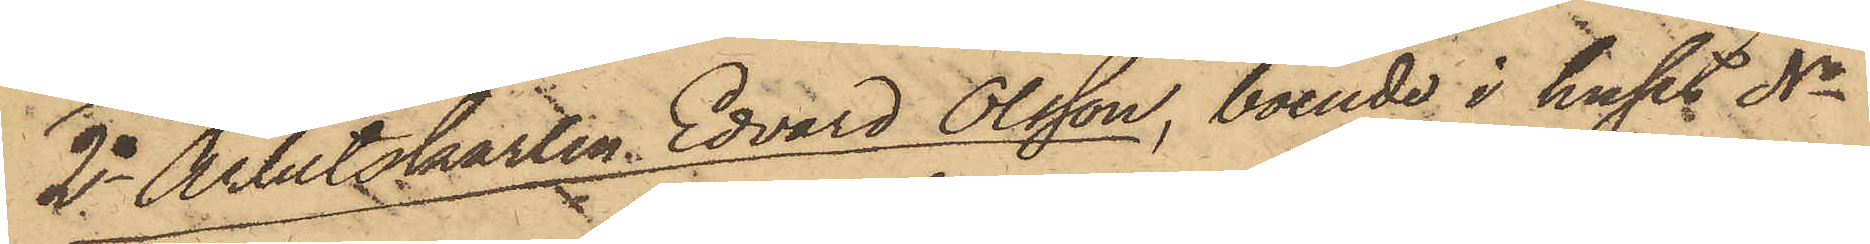2o Arbetskarlen Edvard Olsson, boende i huset No
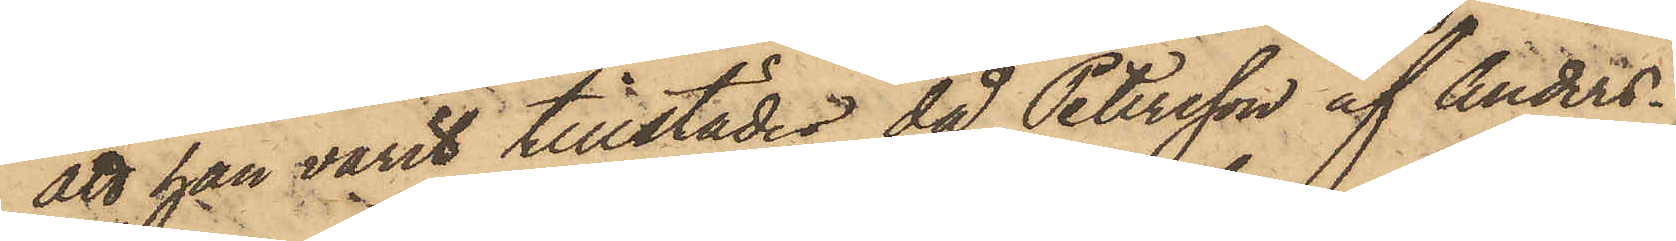att han varit tillstädes, då Petersson af Anders¬
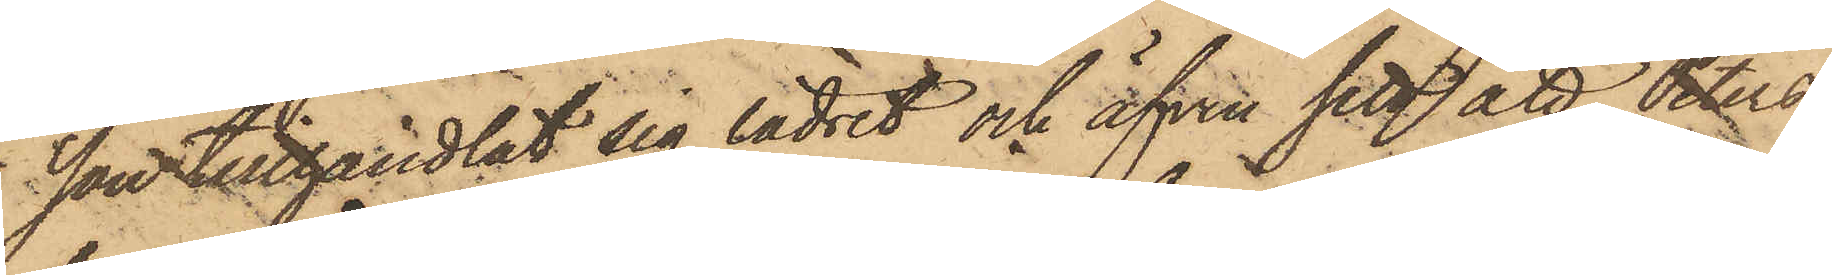son tillhandlat sig lädret och äfven sett att Peters¬
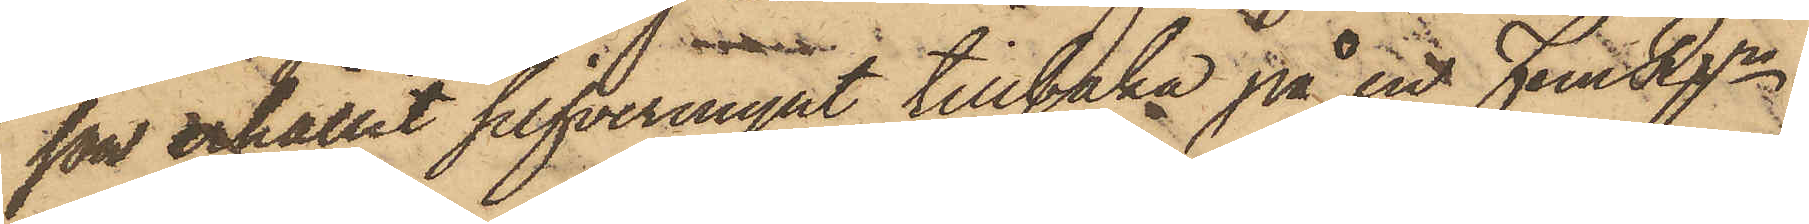son erhållit silfvermynt tillbaka på en Fem Rgr,
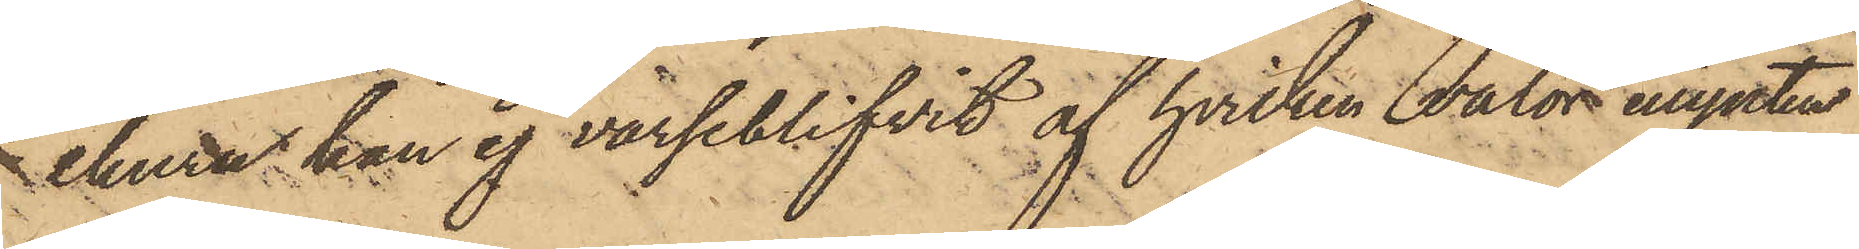ehuru han ej varseblifvit af hvilken valör mynten
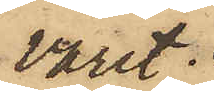varit.
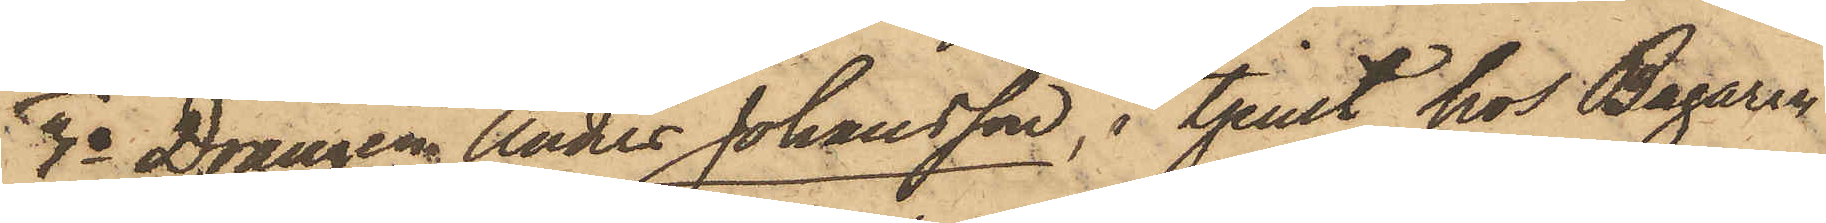3o Drängen Anders Johansson, i tjenst hos Bagaren
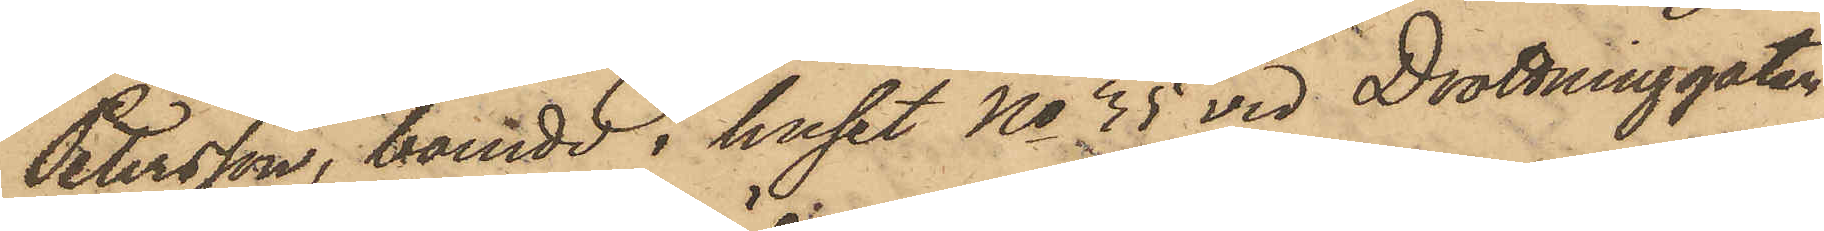Petersson, boende i huset No 35 vid Drottninggatan,
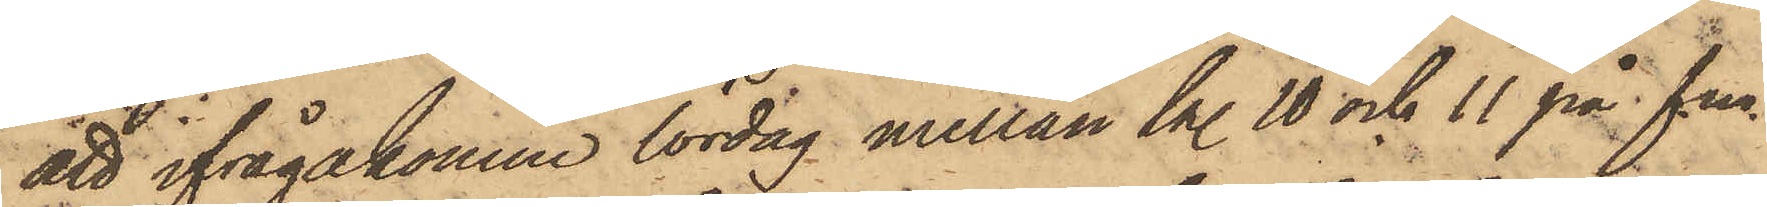att ifrågakomne lördag mellan kl. 10 och 11 på f.m.
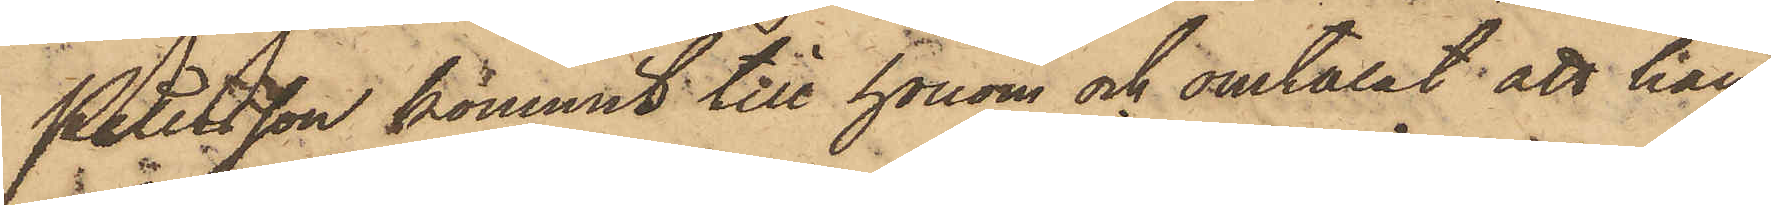Petersson kommit till honom och omtalat att han
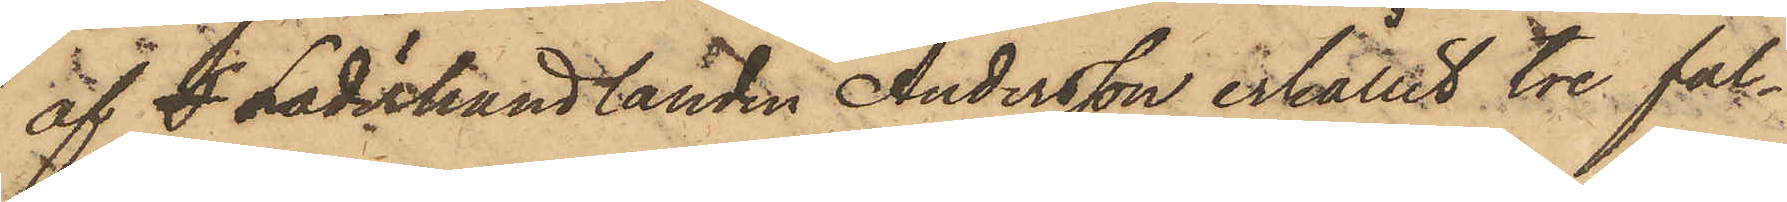af S Läderhandlanden Andersson erhållit tre fal¬
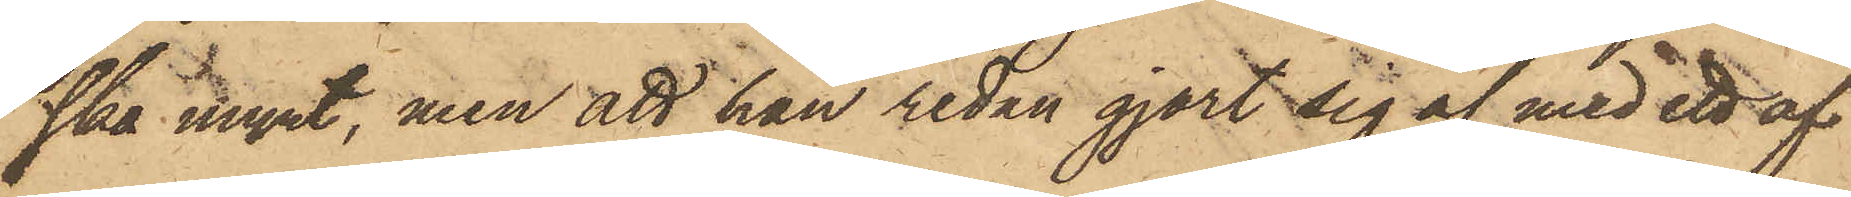ska mynt, men att han sedan gjort sig af med ett af
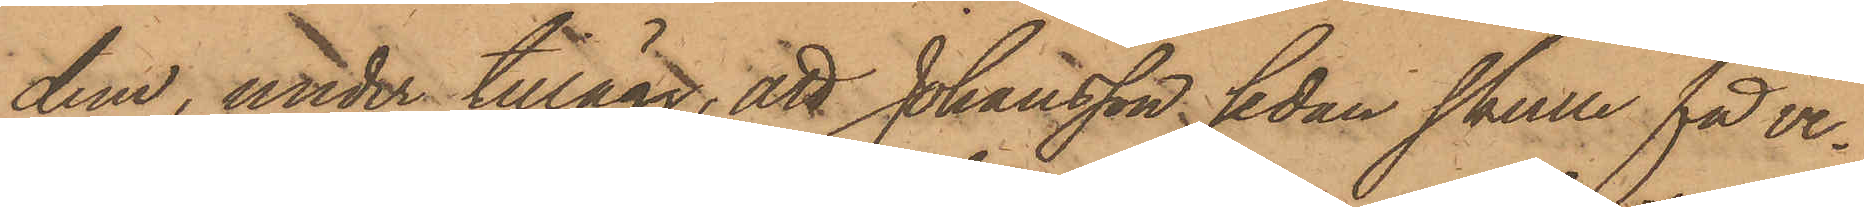dem, under tillägg, att Johansson sedan skulle få ve¬
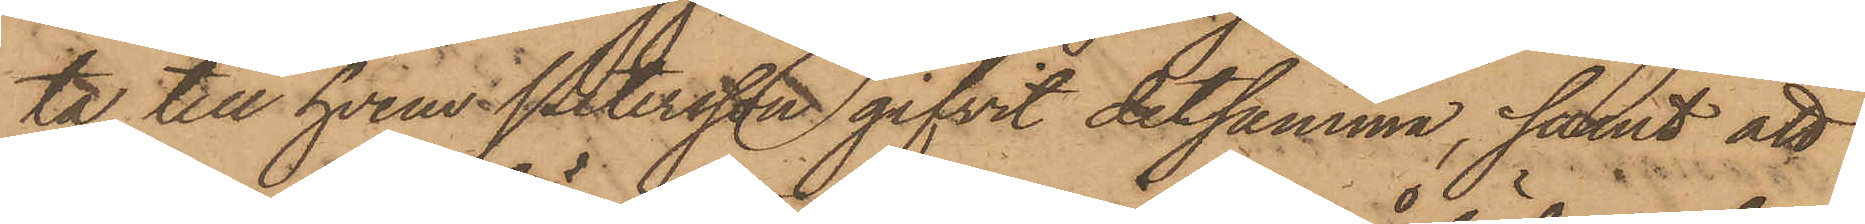ta till hvem i Petersson gifvit detsamma; samt att
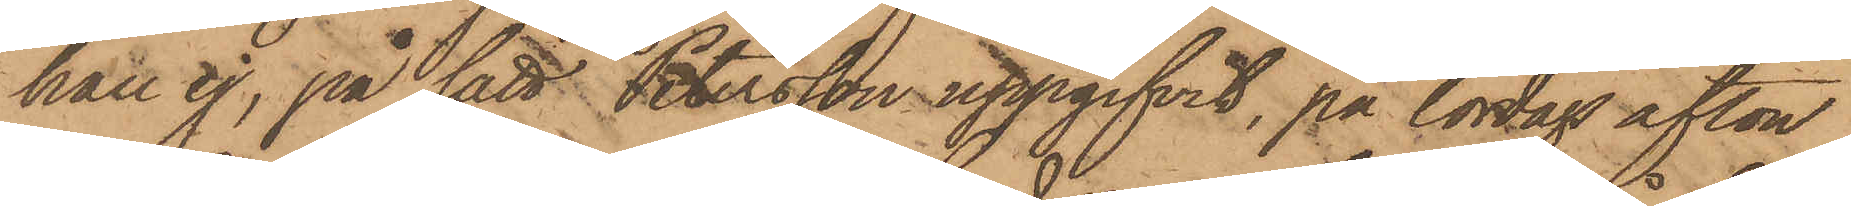han ej, på sätt Petersson uppgifvit, på lördag afton
